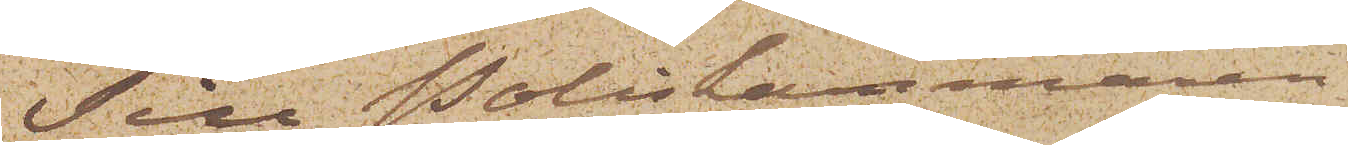Till Poliskammaren i
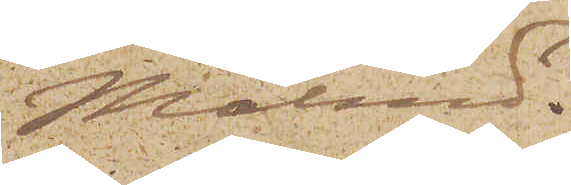Malmö;
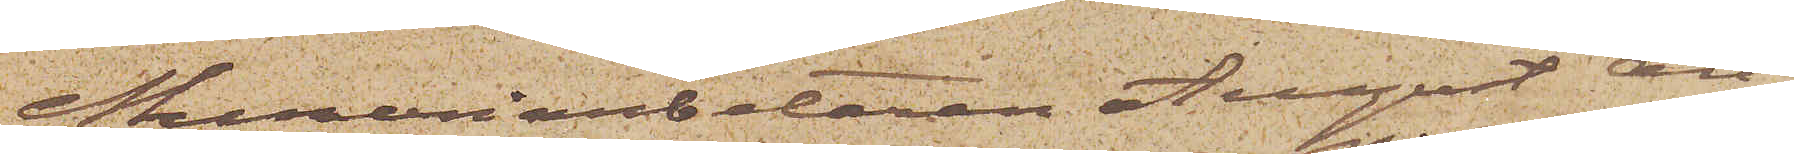Mureriarbetaren August An¬
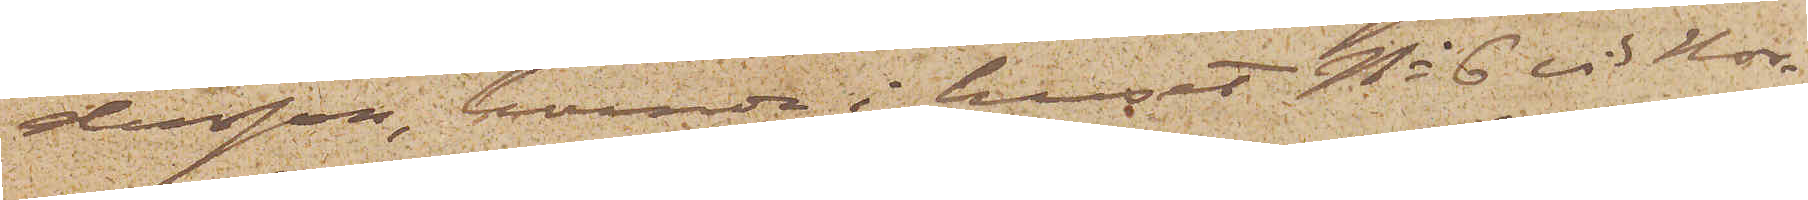dersson, boende i huset No 6 vid Nor¬
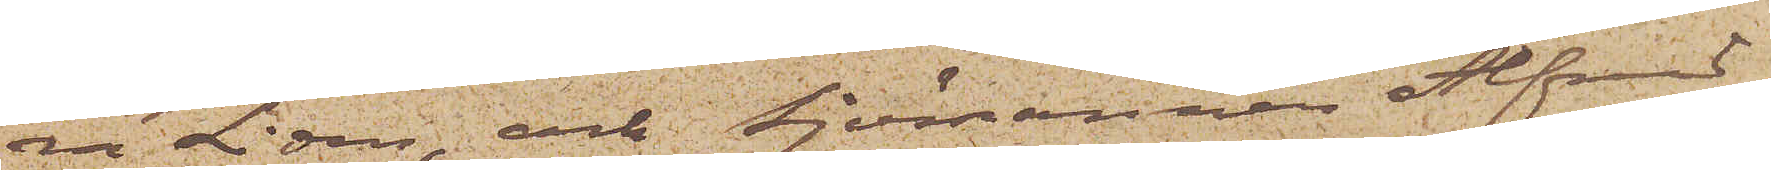ra Liden, och Sjömannen Alfred
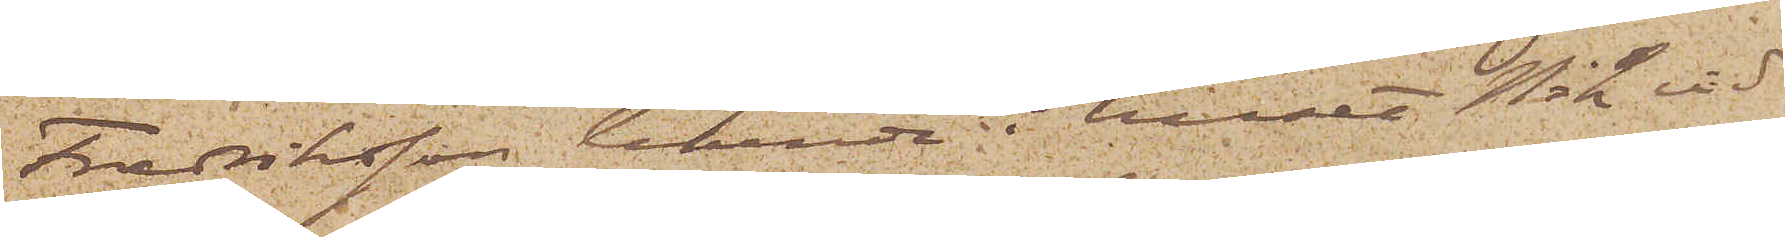Fredriksson, boende i huset No 2 vid
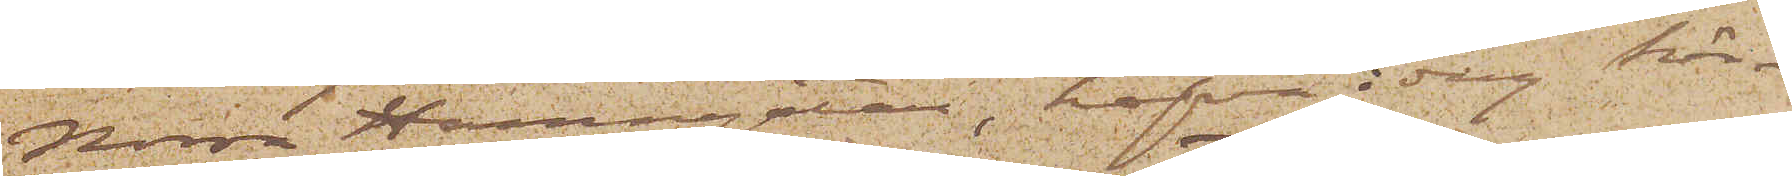Norra Hamngatan, hafva i dag här¬
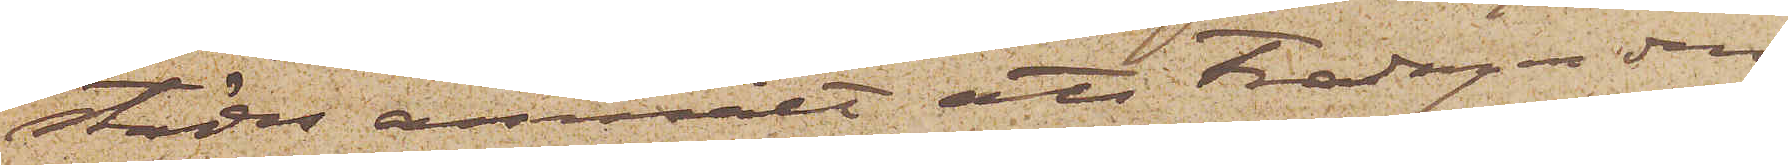städes anmält att Fredagen den
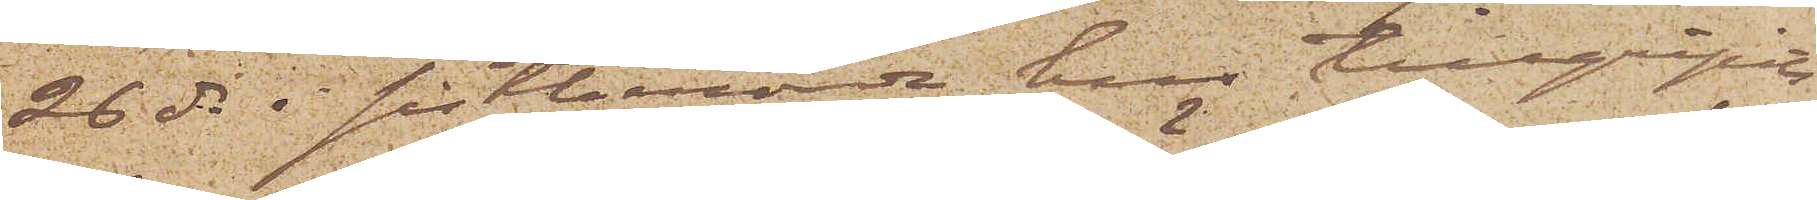26 ds i sistberörde hus tillgripits
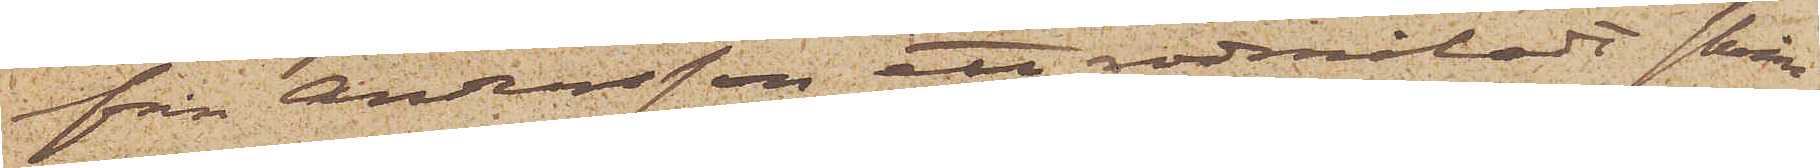från Andersson ett rödmåladt skrin,
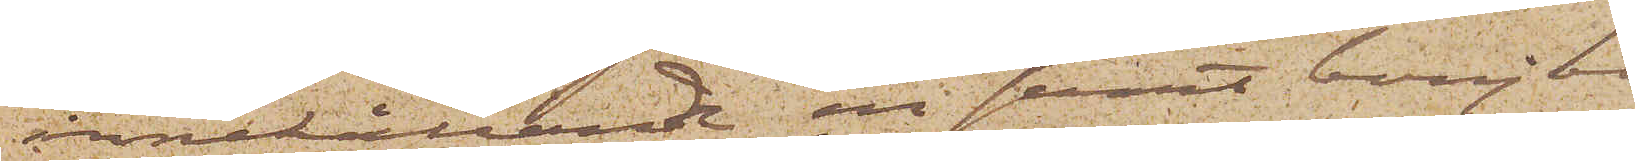innehållande en svart bonjour,
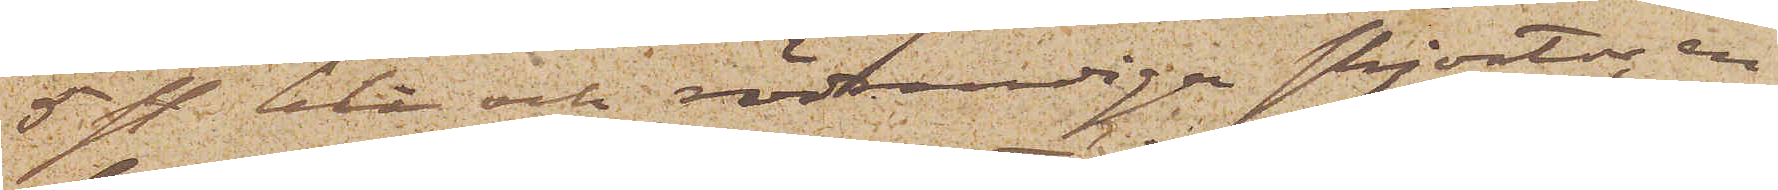5 st blå och rödrandiga skjortor, en
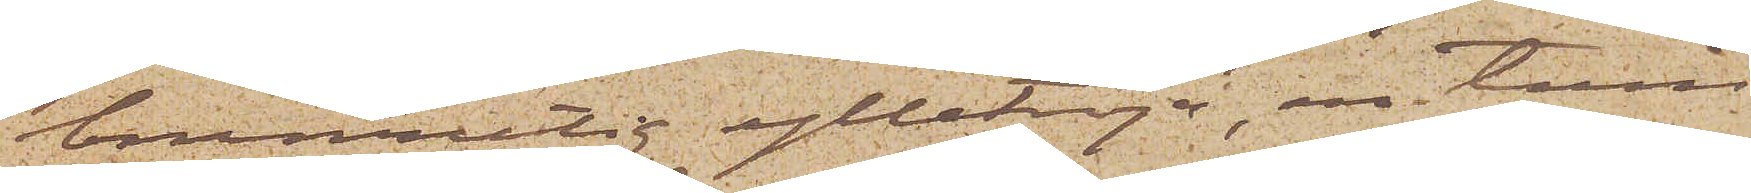brunrutig ylletröja, en tum¬
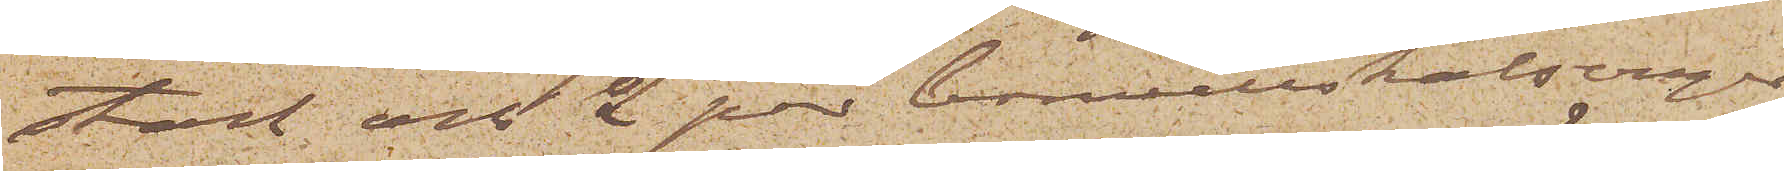stock och 2 par bomullskalsonger
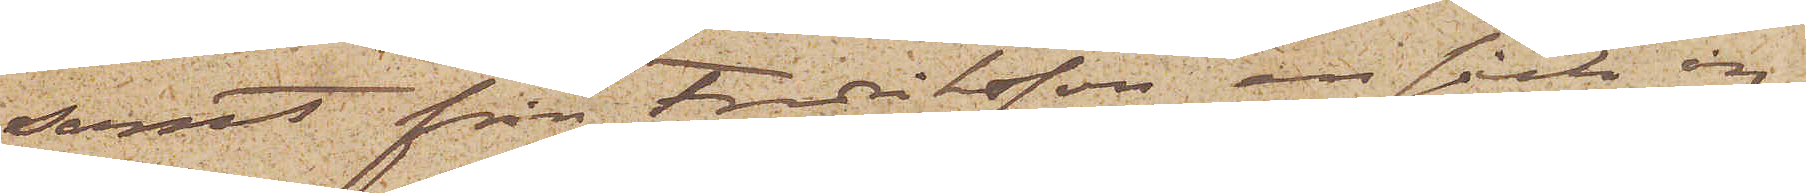samt från Fredriksson en säck, in¬
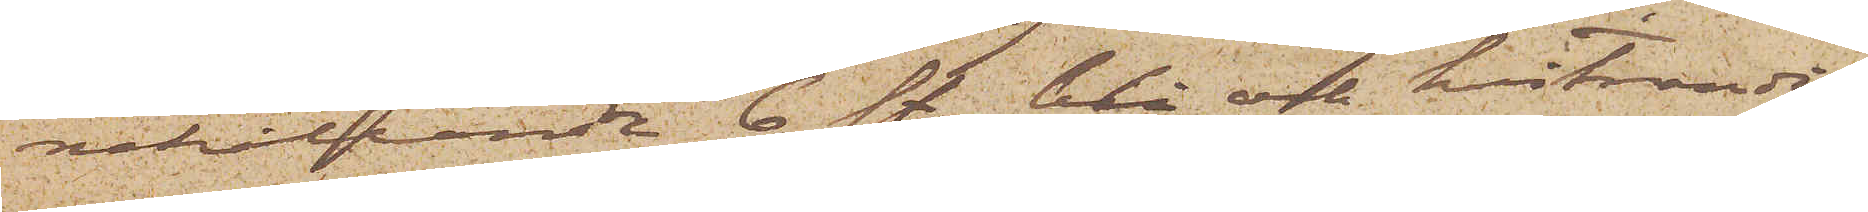nehållande 6 st. blå och hvitrandi¬
